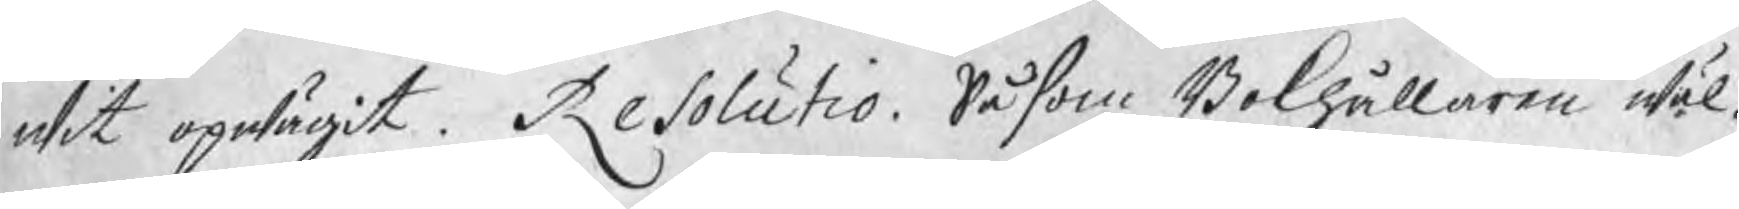wit opwägit. Resolutio. Såsom Bokhållaren wäl¬
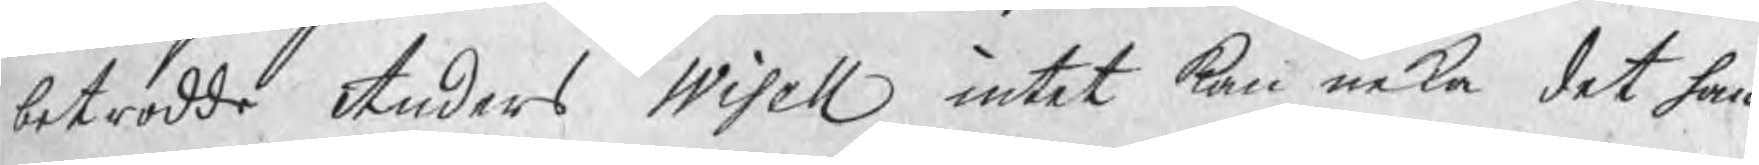betrodde Anders Wisell intet kan neka det han
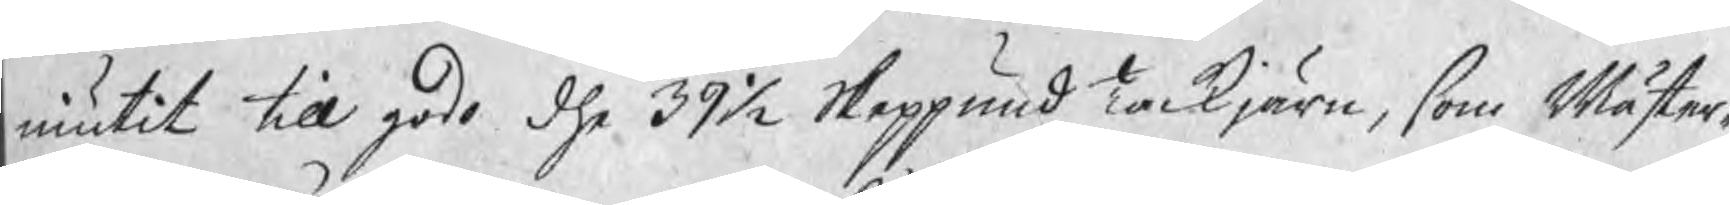niutit till godo dhe 39½ Skeppund Tackjärn, som Mäster¬
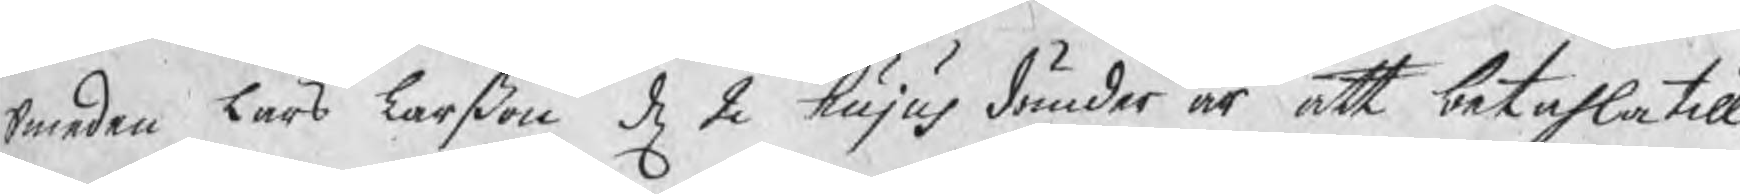Smeden Lars Larßon d 2 hujus dömder är att betahla till
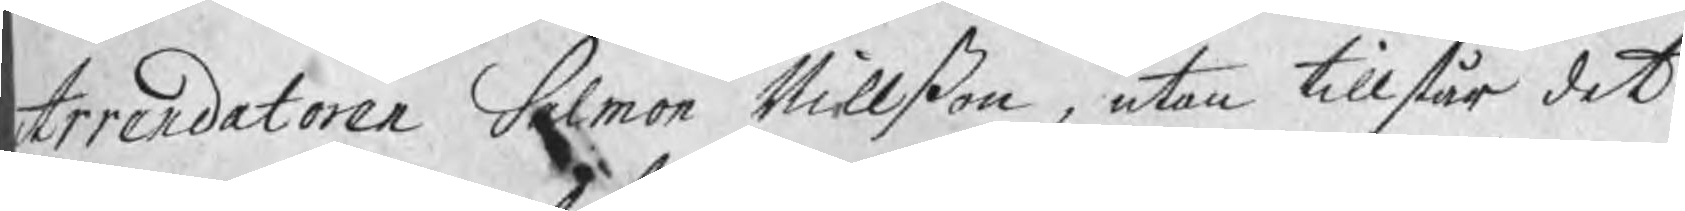Arrendatoren Salmon Nillßon, utan tillstår det
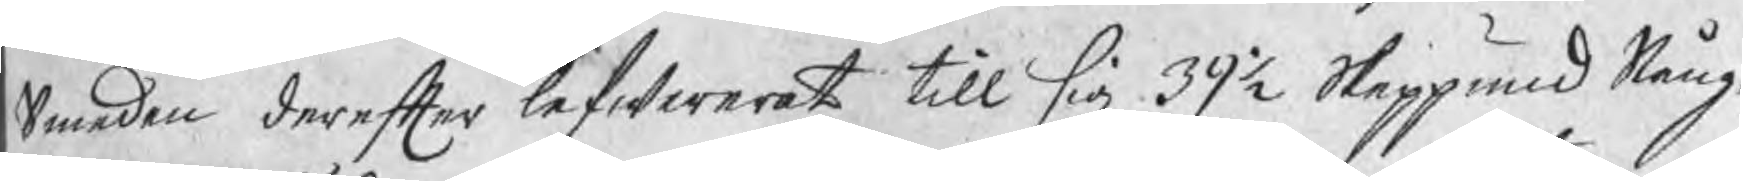Smeden derefter lefwererat till sig 39½ Skeppund Stång¬
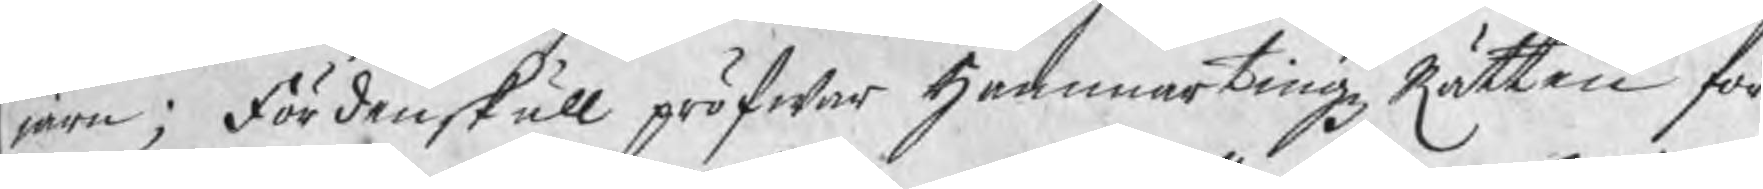järn; Fördenskull pröfwar HammartingzRätten för
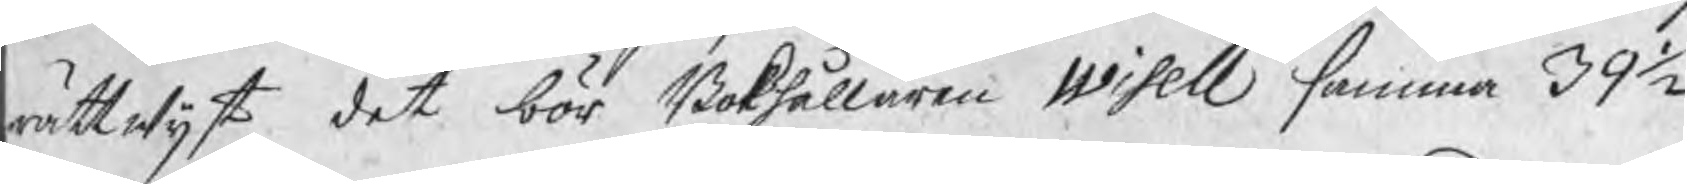rättwijst det bör Bokhållaren Wisell samma 39½
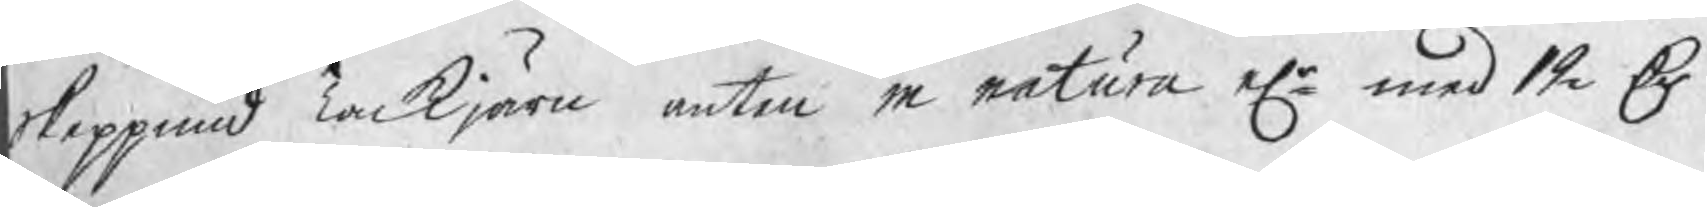Skeppund Tackjärn anten in natura elr med 12 Dr
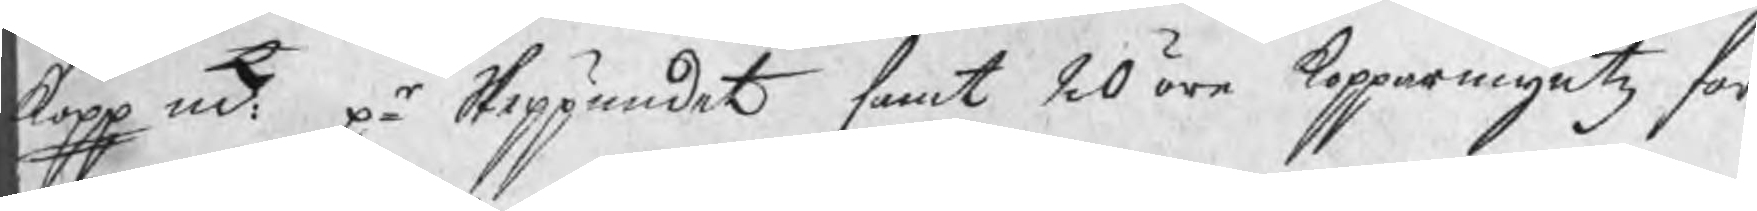kopp mt på Skeppundet samt 20 öre kopparmyntz for¬
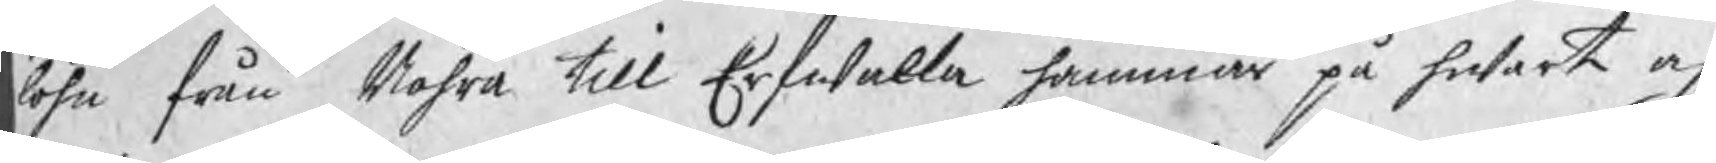löhn från Nohra till Erfwalla hammar på hwart och
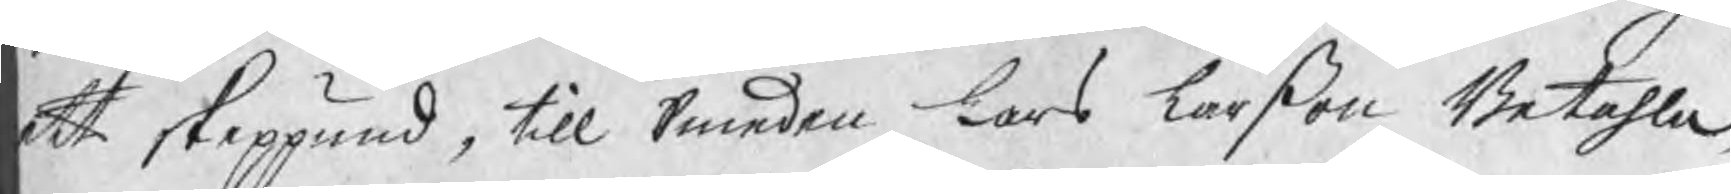ett skeppund, till Smeden Lars Larßon Betahla,
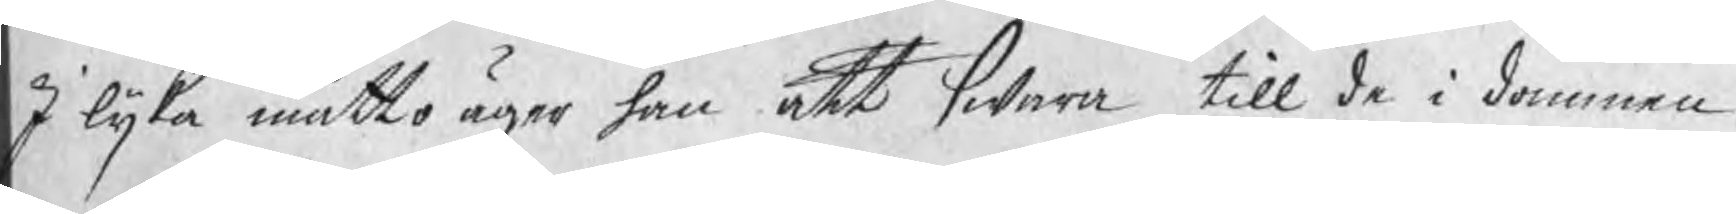I lijka måtto äger han att swara till de i dommen
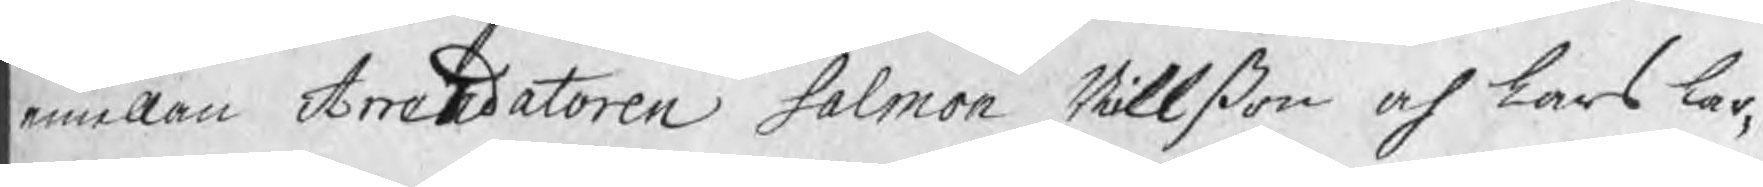emellan Arrendatoren Salmon Nillßon och Lars Lar¬
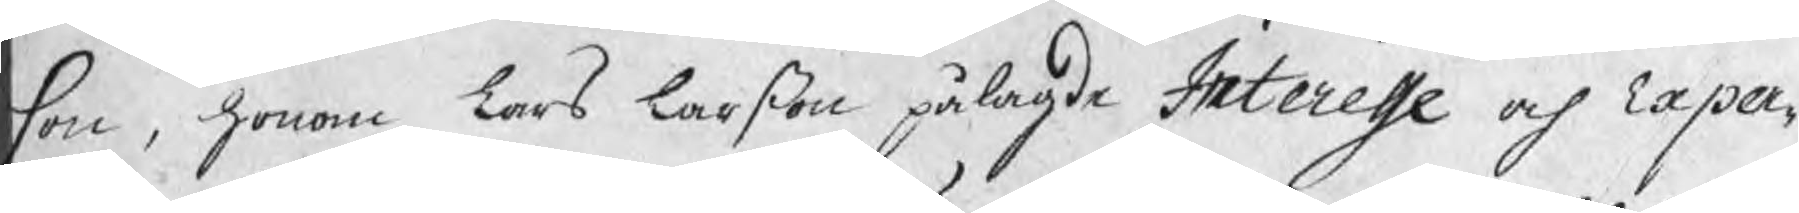son, honom Lars Larßon pålagde Interesse och Expen¬
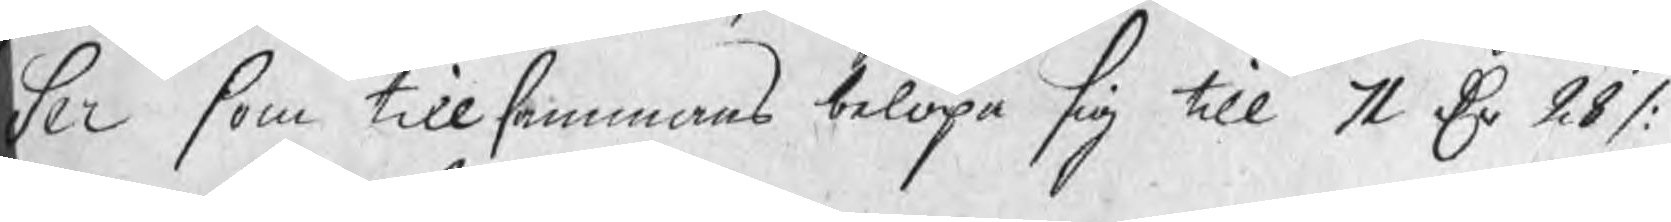ser som tillsammans belöpa sig till 71 Dr 28 /:
